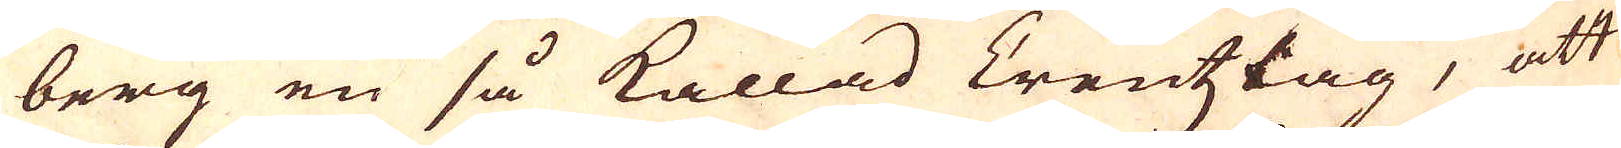berg en så kallad Creutzlag, att
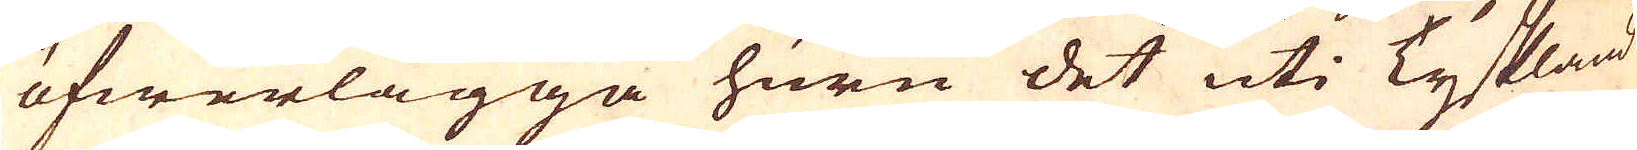öfwerlägga huru det uti Tyskland
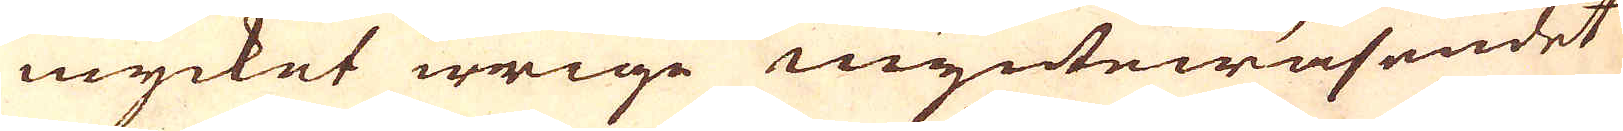mycket ivrige myntewäsendet
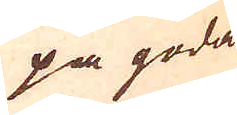på goda
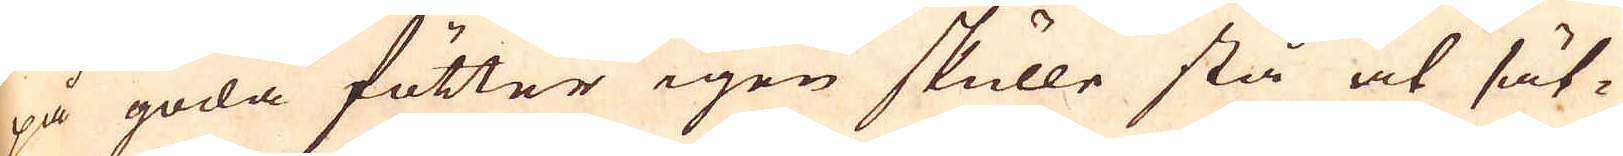på goda fötter igen skulle stå at sät-
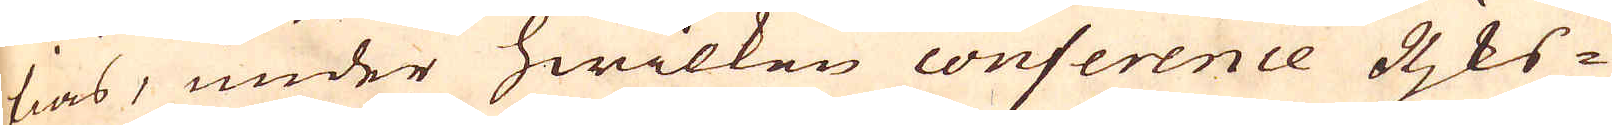tias, under hwilken conference Rjks-
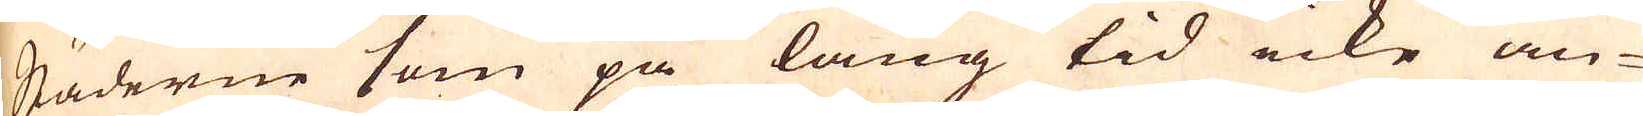Städerne som på lång tid icke an-
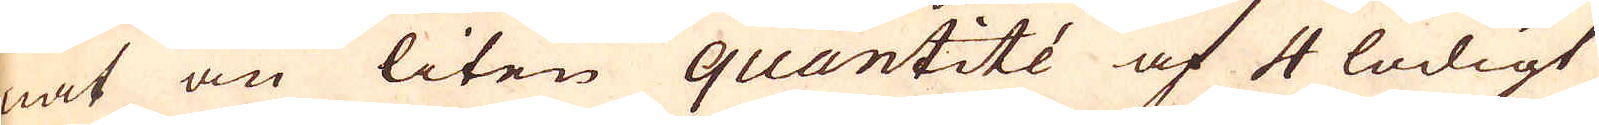nat än liten quantité af 4 lödigt
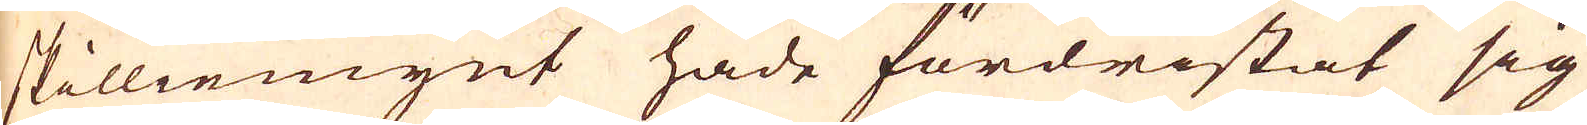skilliemynt hade fördristat sig
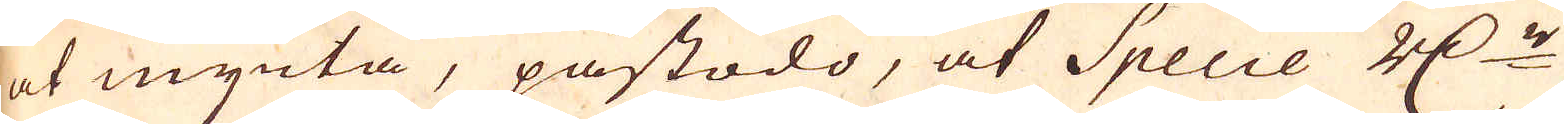at mynta, påstodo, at Specie R:dr
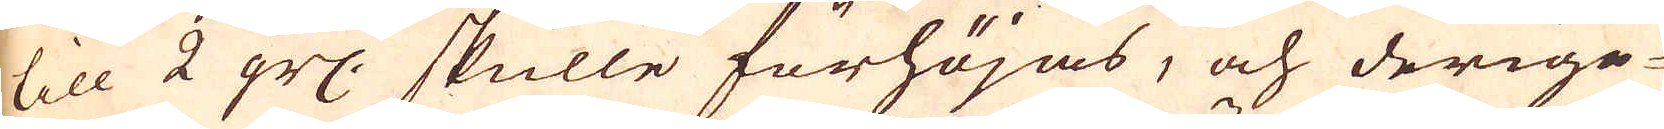till 2 grs: skulle förhöjas, och derige-
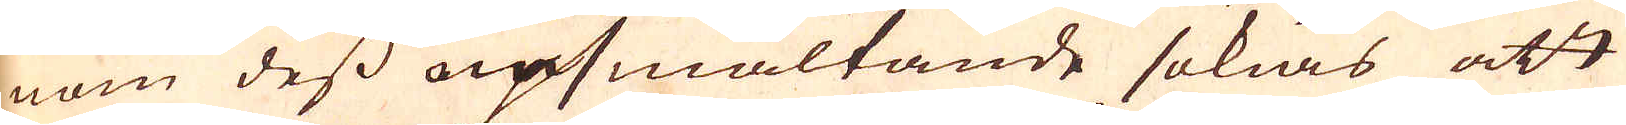nom dess upsmältande sökias att
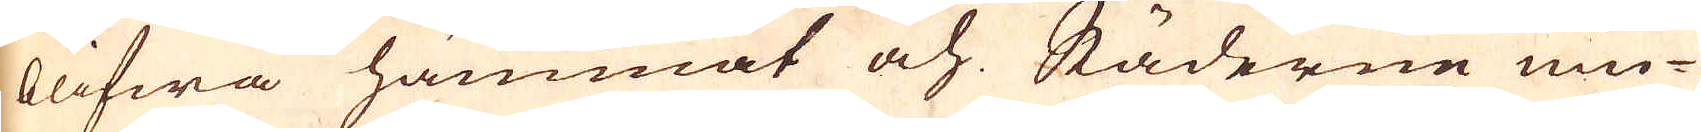blifwa hämmat och Städerne niu-
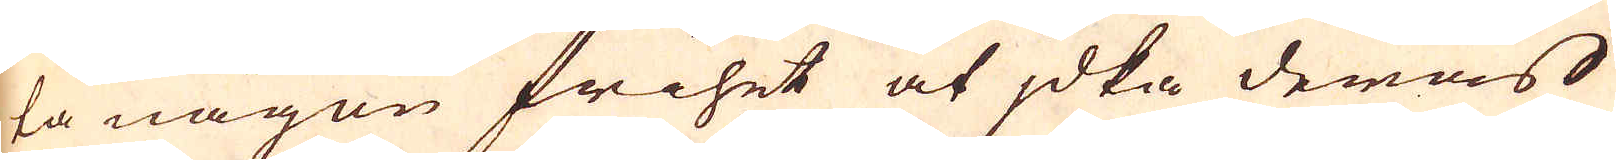ta någon frihet at jdka deras
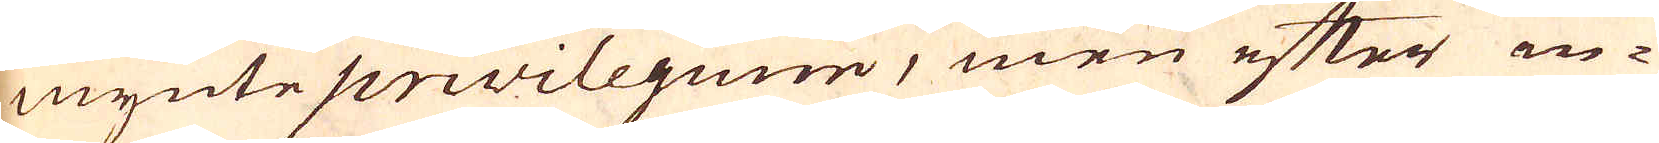mynte privilegium, men efter in-
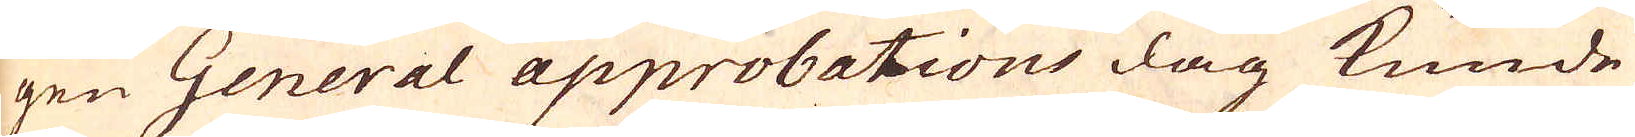gen General approbations dag kunde
